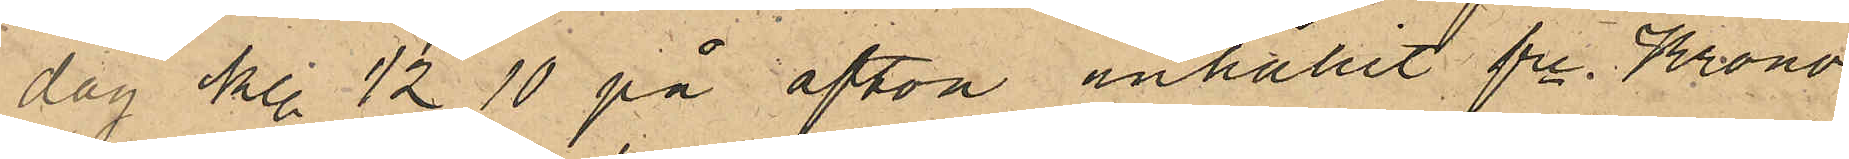dag kl. 1/2 10 på afton anhållit fre Krono¬
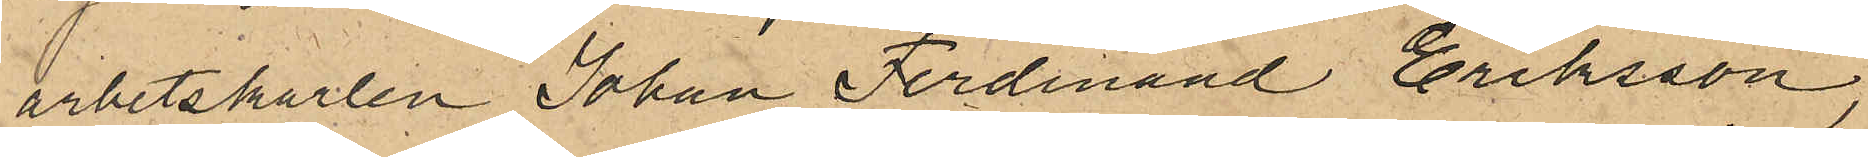arbetskarlen Johan Ferdinand Eriksson,
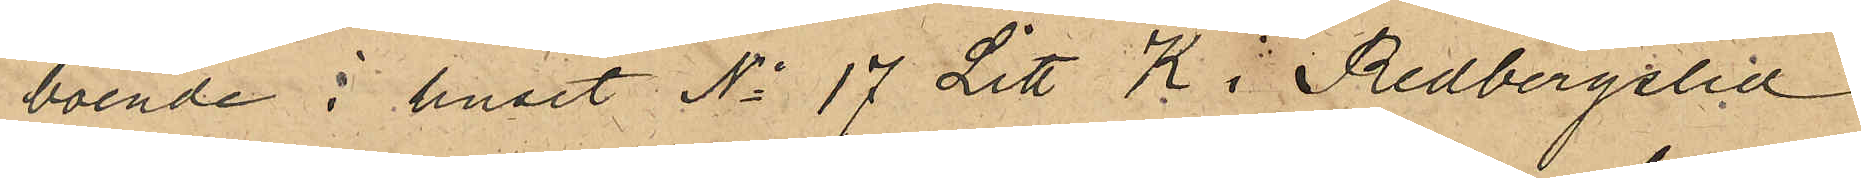boende i huset No 17 Litt K i Redbergslid
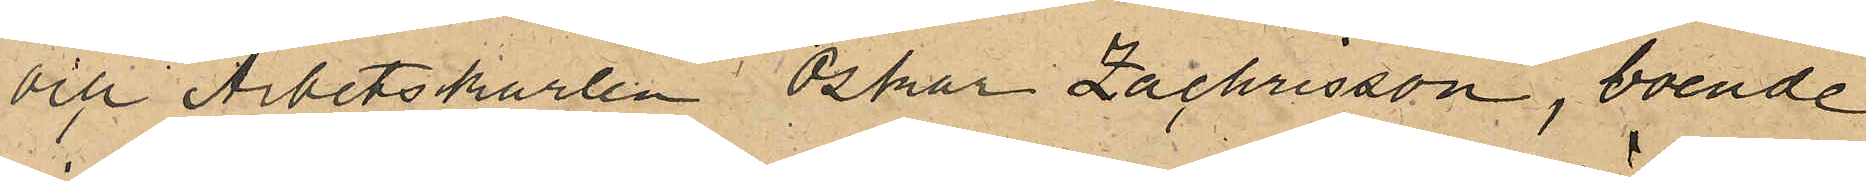och Arbetskarlen Oskar Zachrisson, boende
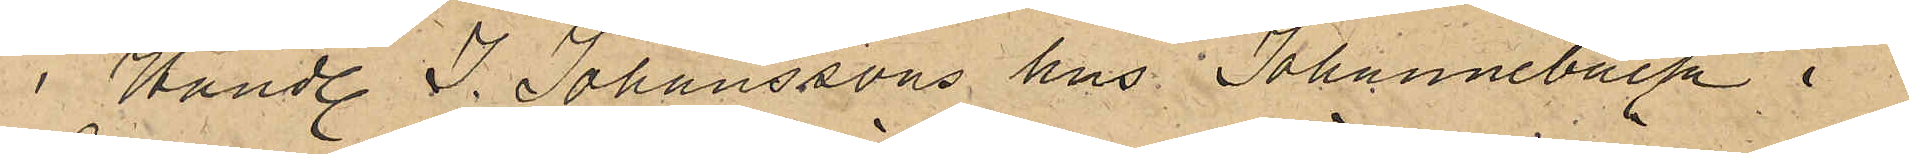i Handl. J. Johanssons hus Johannebäck i
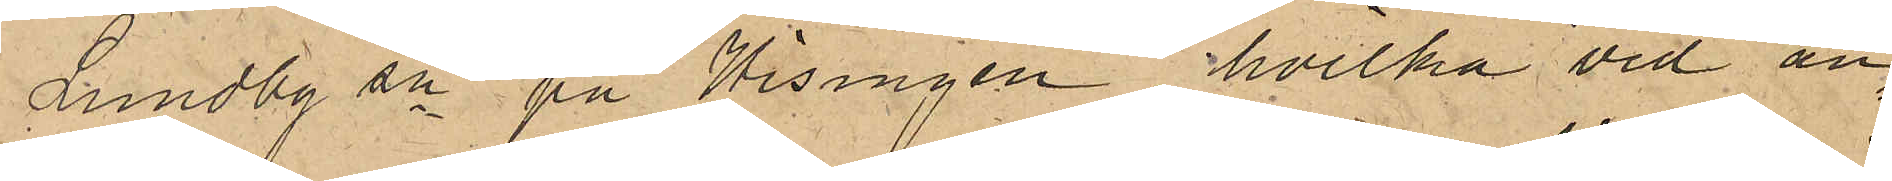Lundby sn på Hisingen, hvilka vid an¬
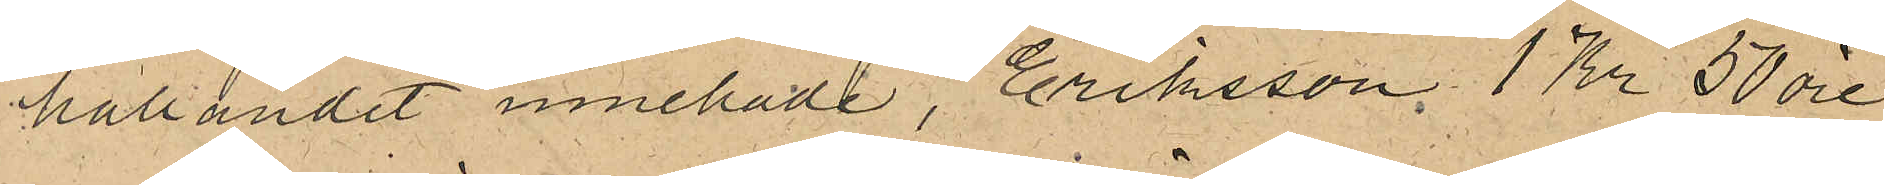hållandet innehade, Eriksson 1 Kr 50 öre.
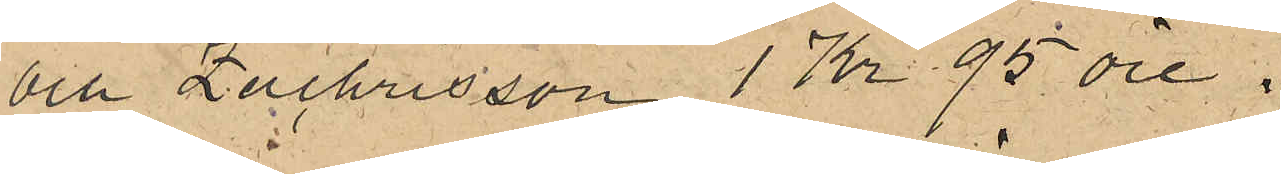och Zachrisson 1 Kr 95 öre.
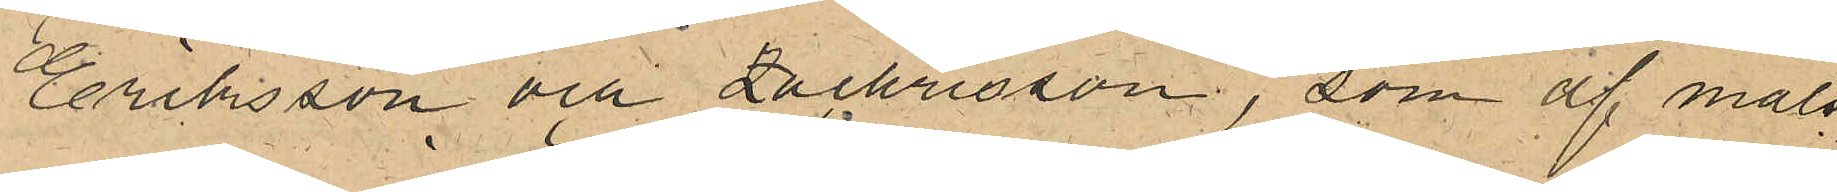Eriksson och Zachrisson, som af måls¬
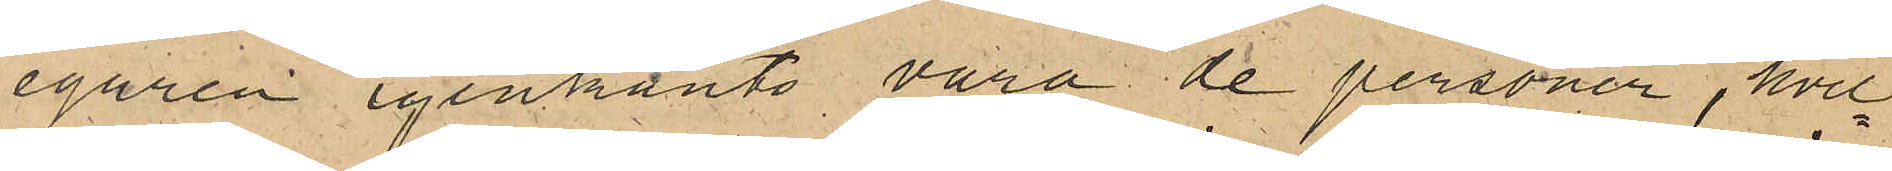egaren igenkänts vara de personer, hvil¬
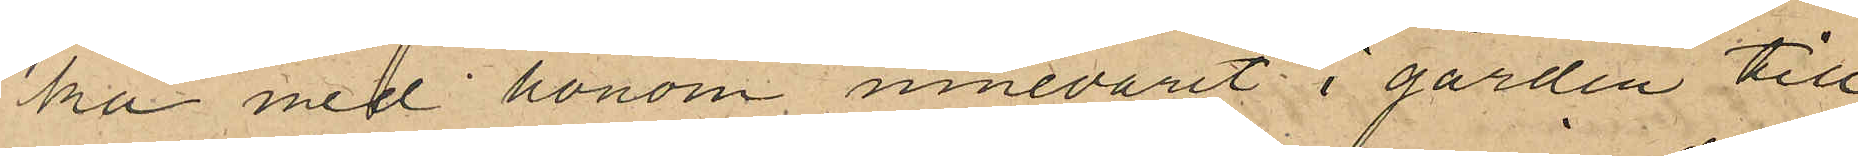ka med honom innevarit i gården till
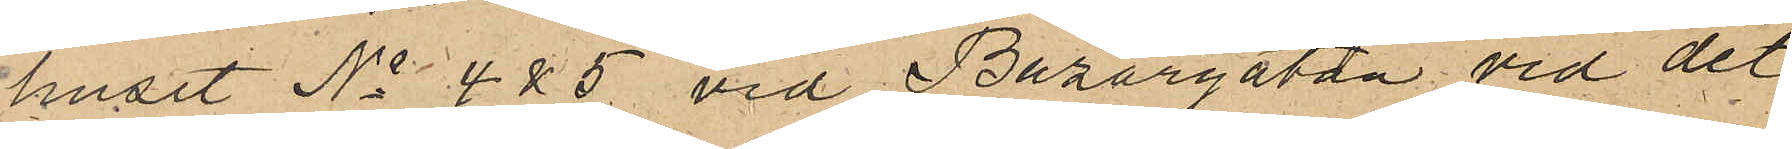huset No 4 & 5 vid Bazargatan vid det
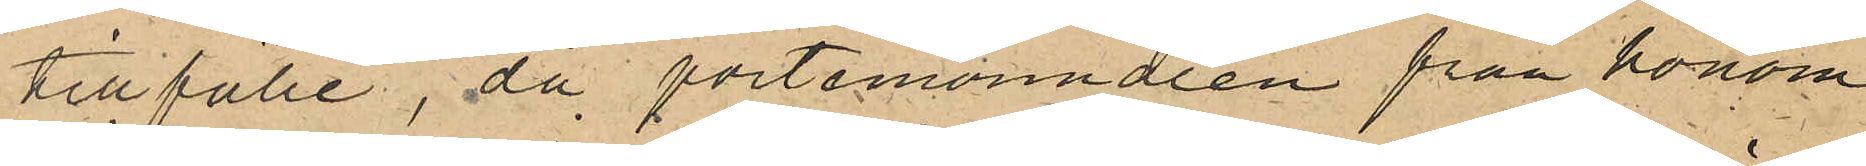tillfälle då portemonnaien från honom
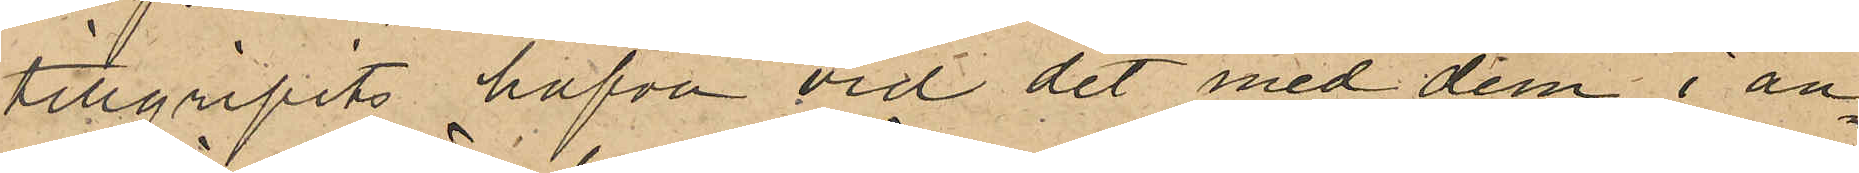tillgripits hafva vid det med dem i an¬
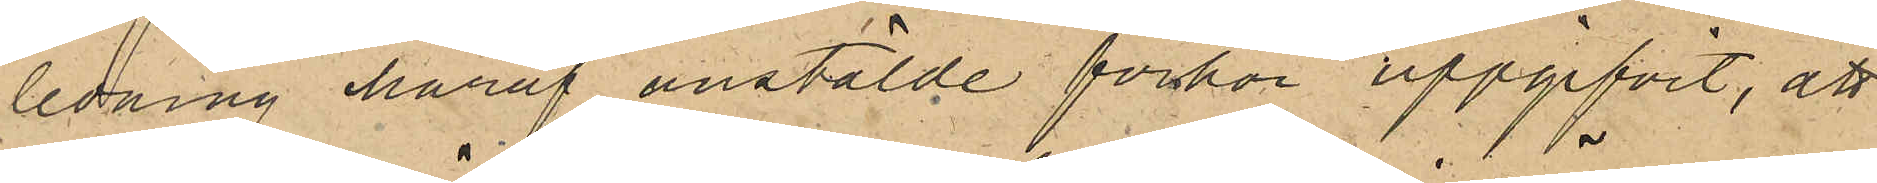ledning häraf anstälde förhör uppgifvit, att
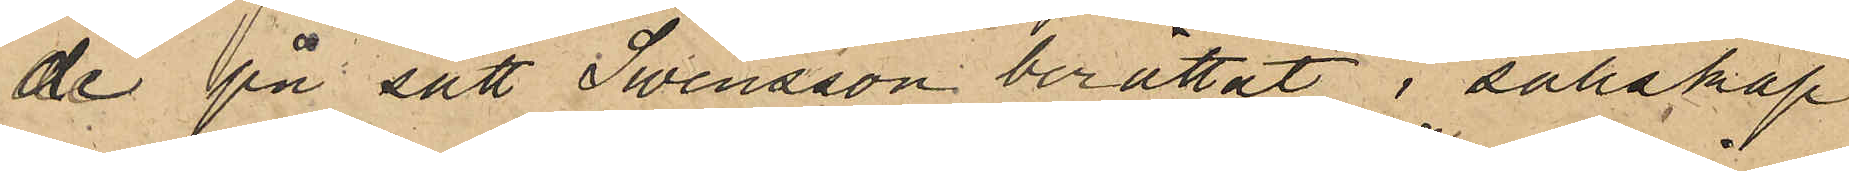de på sätt Swensson berättat i sällskap
